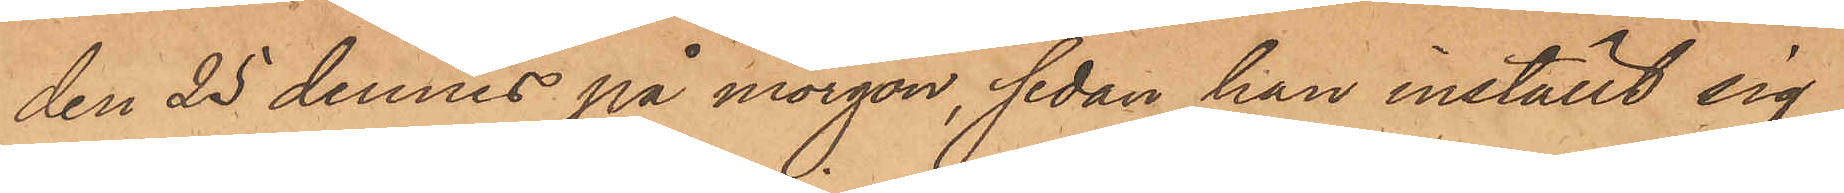den 25 dennes på morgon, sedan han inställt sig
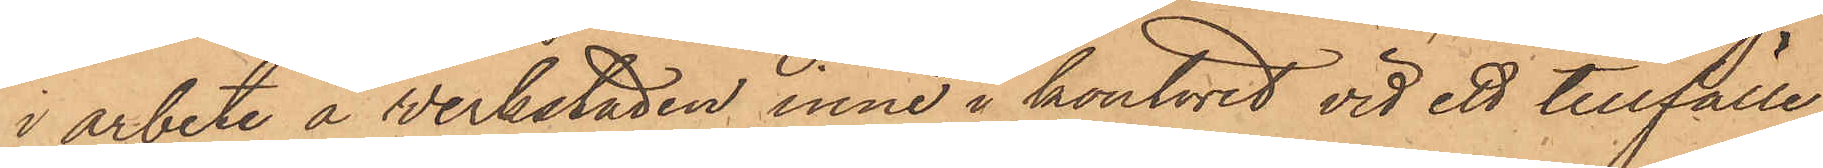i arbete å verkstaden inne i kontoret vid ett tillfälle,
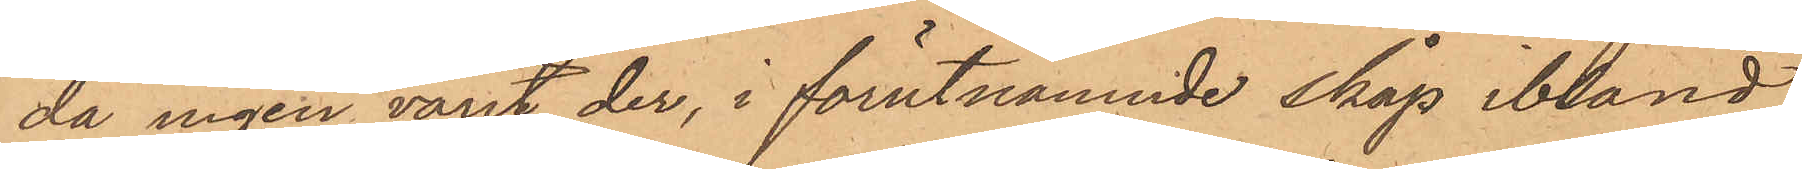då ingen varit der, i förutnämnde skåp ibland
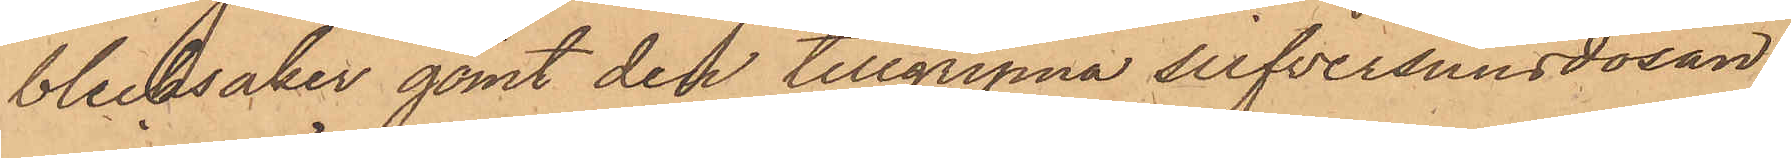blecksaker gömt den tillgripna silfversnusdosan,
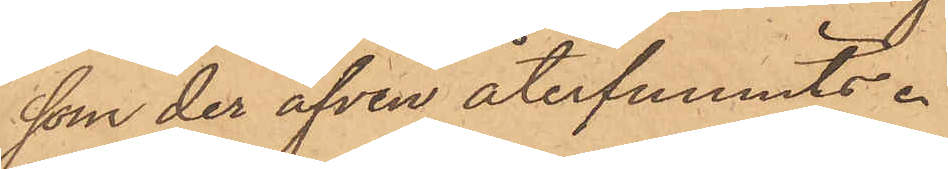som der äfven återfunnits.
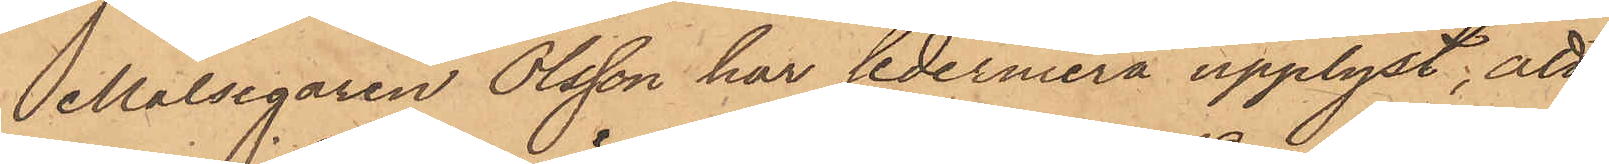Målsegaren Olsson har sedermera upplyst, att
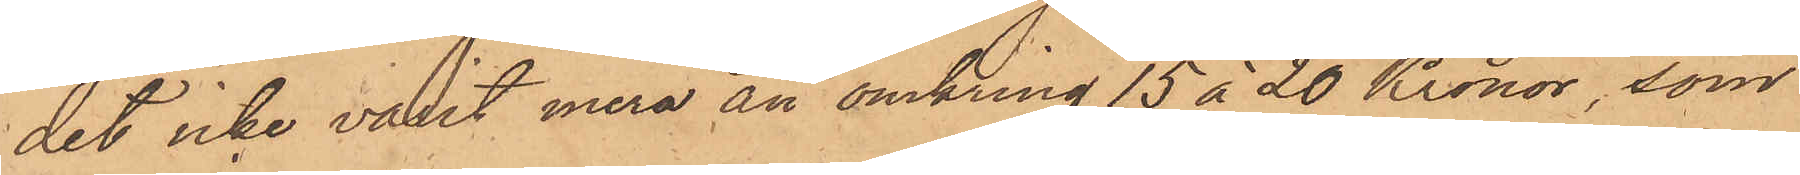det icke varit mera än omkring 15 à 20 Kronor, som
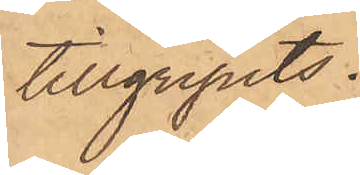tillgripits.
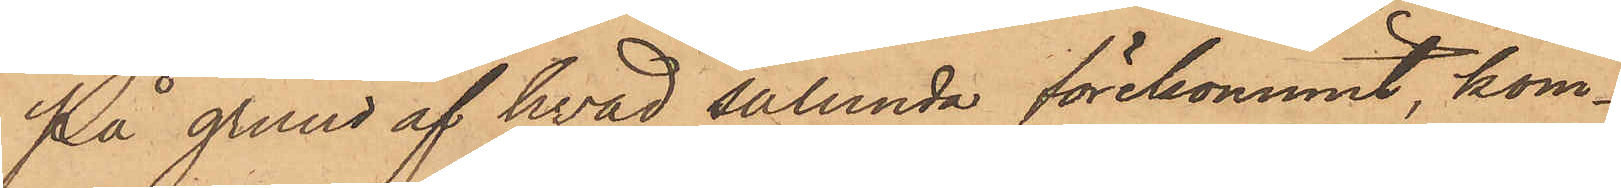På grund af hvad sålunda förekommit, kom¬
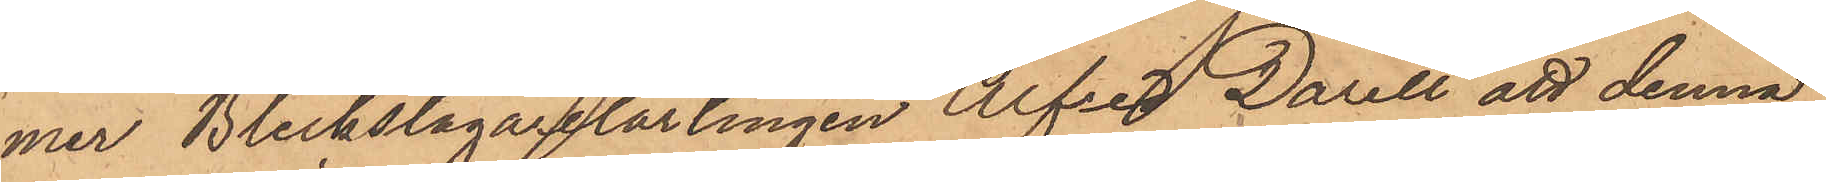mer Bleckslagarelärlingen Alfred Darell att denna
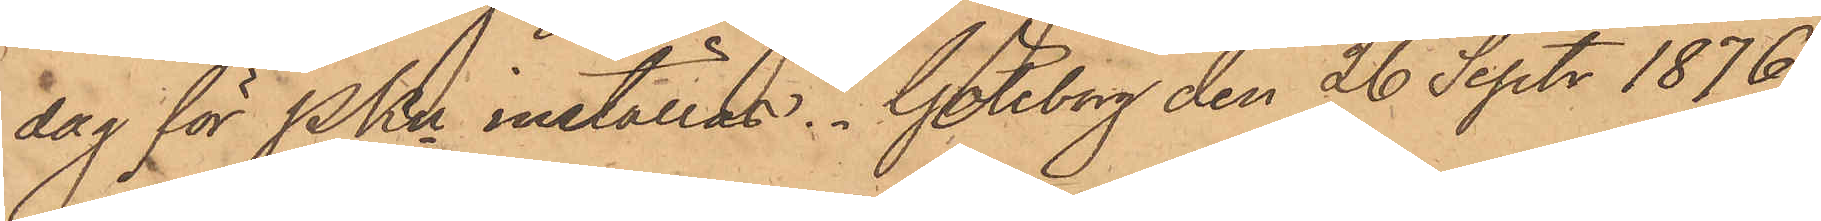dag för PKn inställas. Göteborg den 26 Sept. 1876
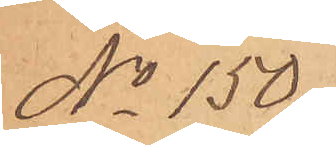No 150
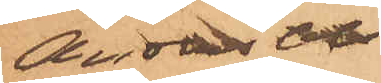Anders Ols¬
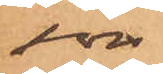son
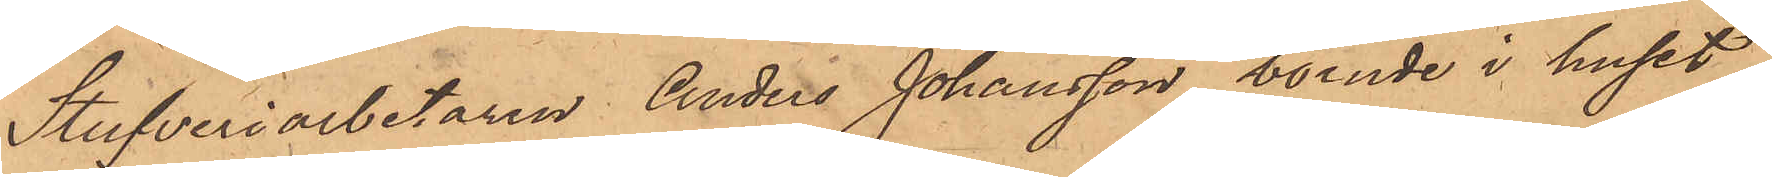Stufveriarbetaren Anders Johansson, boende i huset
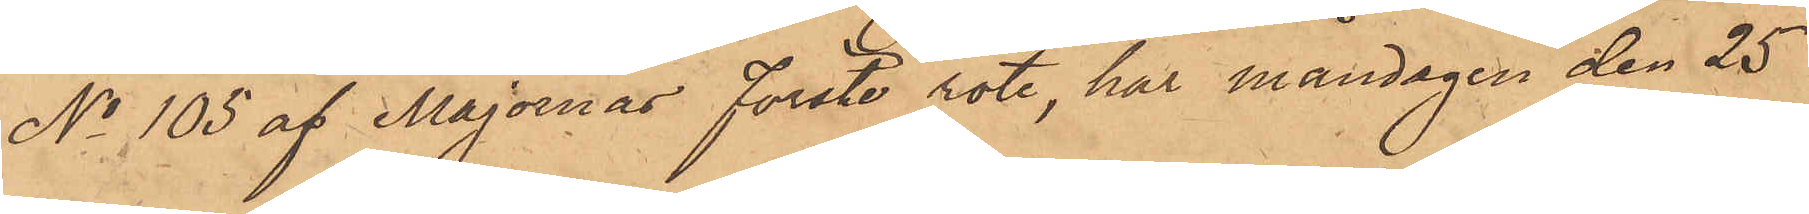No 105 af Majornas Förste rote, har måndagen den 25
